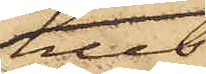hus
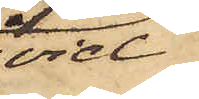vid
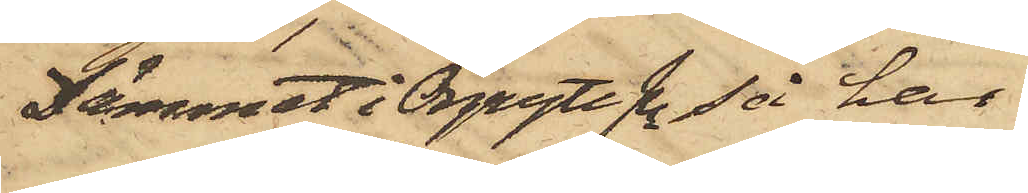Dämmet i Örgryte Sn så har
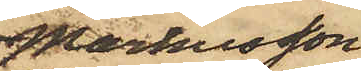Markusson
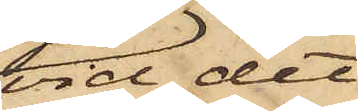vid det
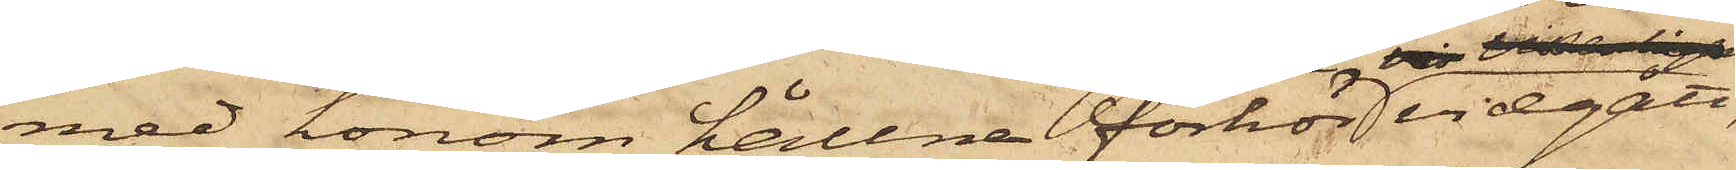med honom hållna förhör vidgått,
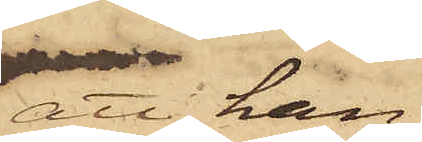att han
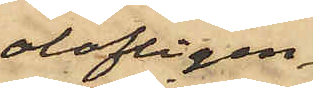olofligen
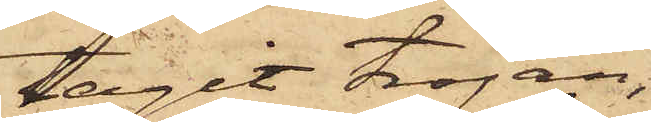tagit tröjan,
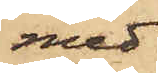med
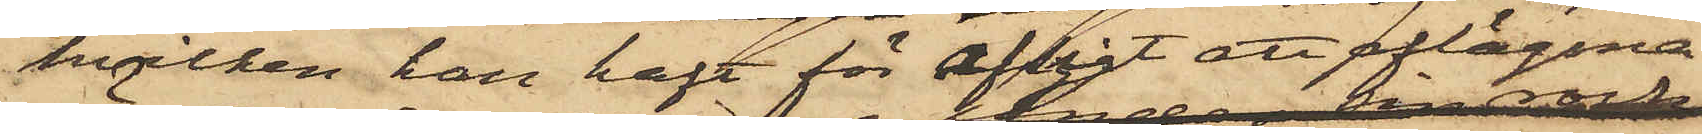hvilken han haft för afsigt att aflägsna
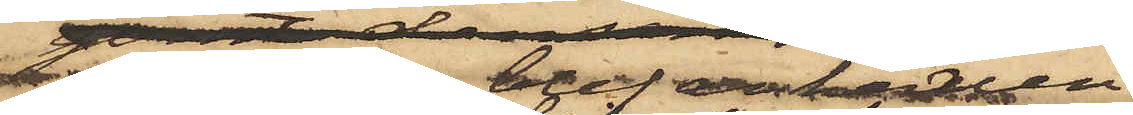 sig då han han blef anhållen.
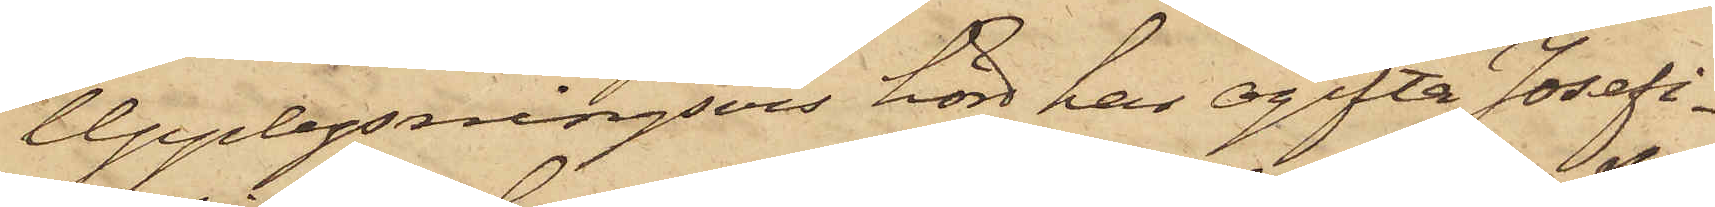Upplysningsvis hörd har ogifta Josefi¬
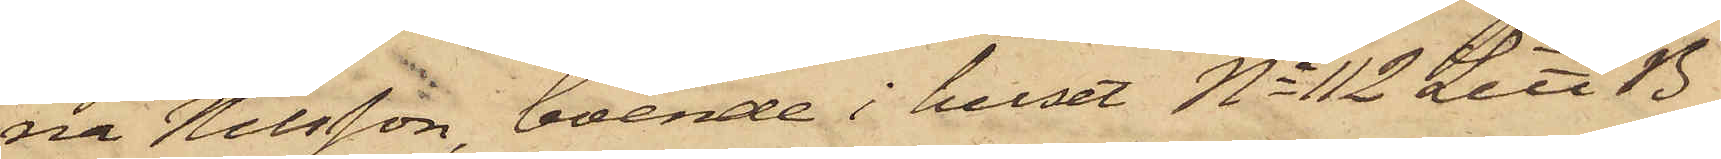na Nilsson, boende i huset No 112 Litt B
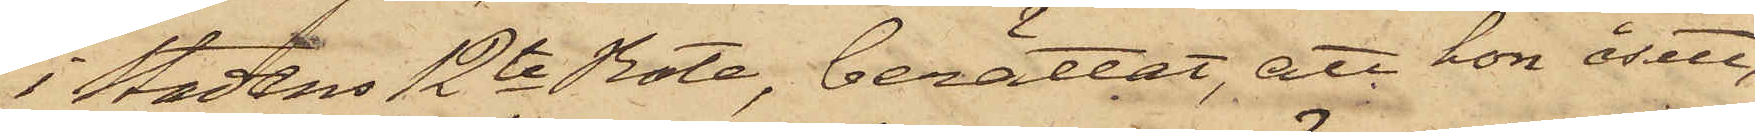i Stadens 12te Rote, berättat, att hon åsett
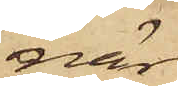när
